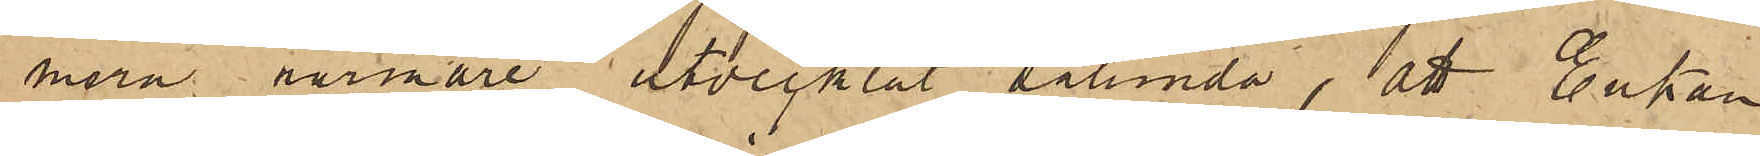mera närmare utvecklat sålunda, att Enkan
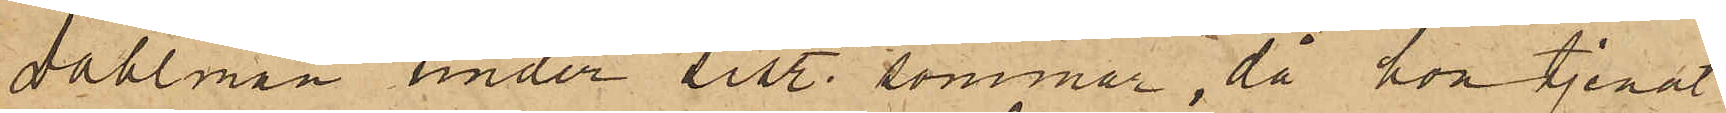Dahlman under sist. sommar, då hon tjenat
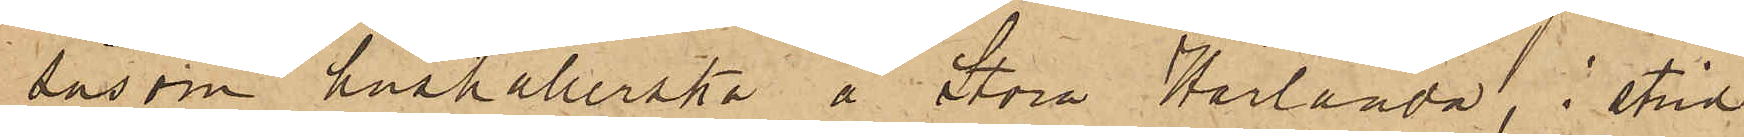såsom hushållerska å Stora Härlanda, i strid
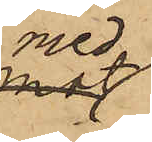med
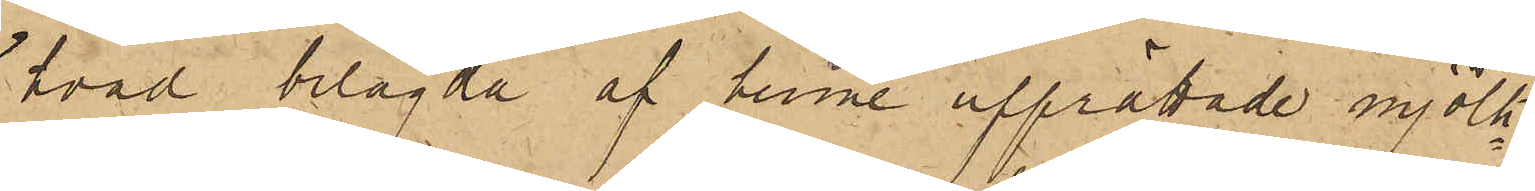hvad bilagda af henne upprättade mjölk¬
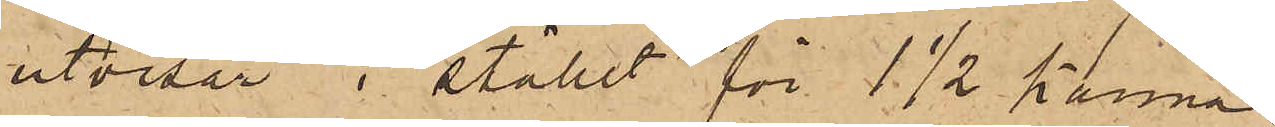utvisar i stället för 1 1/2 kanna
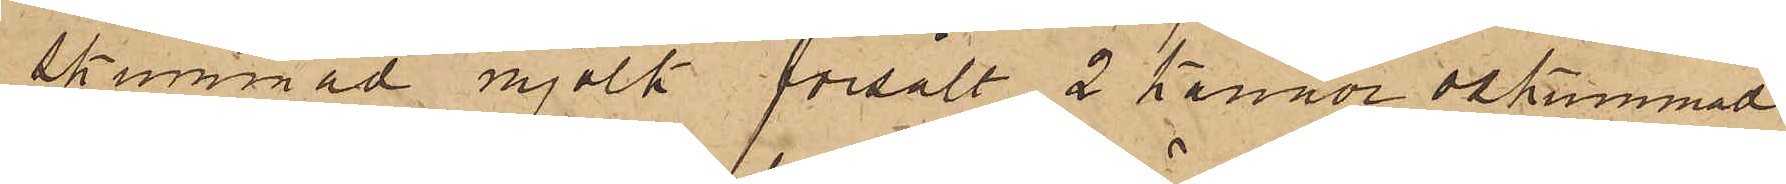skummad mjölk försålt 2 kannor oskummad
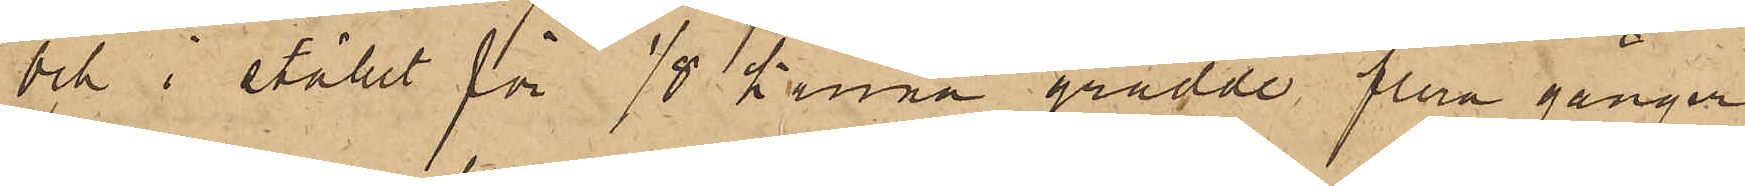och i stället för 1/8 kanna grädde flera gånger
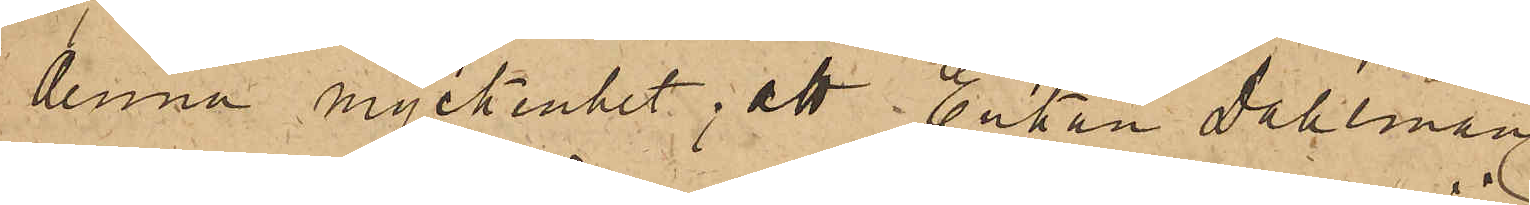denna myckenhet; att Enkan Dahlman
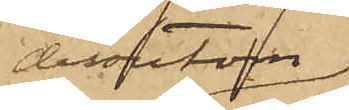dessutom
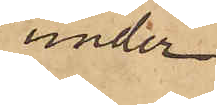under
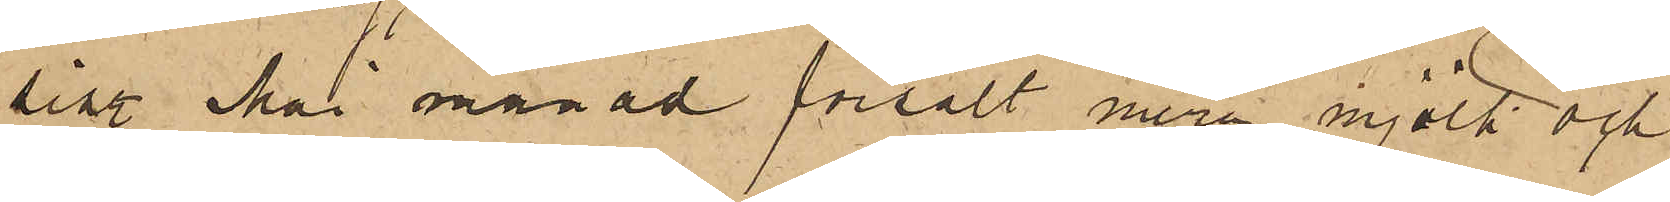sistl. Mai månad försålt mera mjölk och
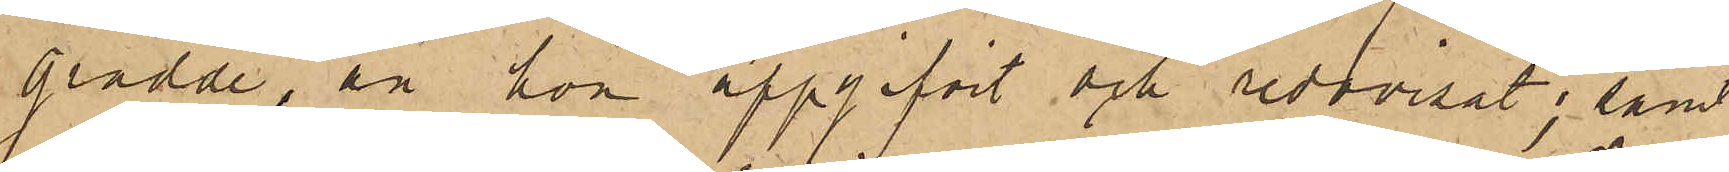grädde, än hon uppgifvit och redovisat; samt
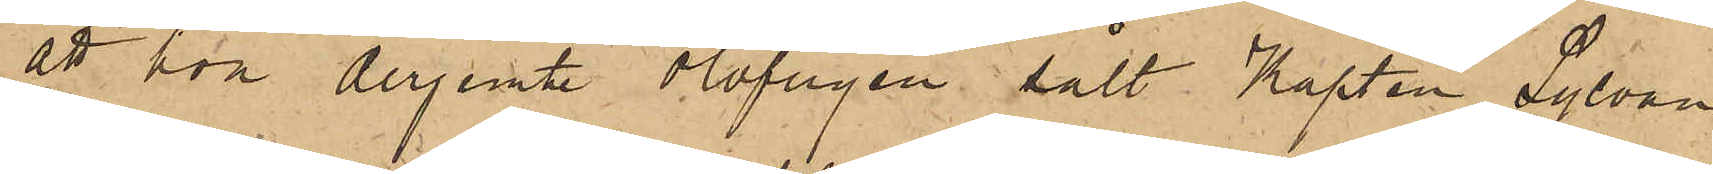att hon derjemte olofligen sålt Kapten Sylvan
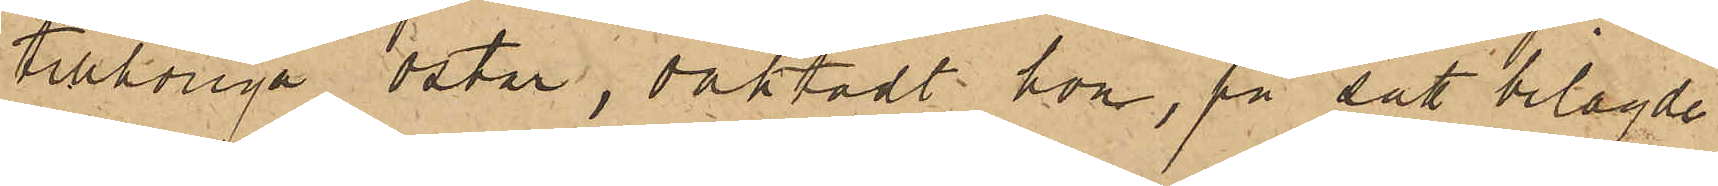tillhöriga ostar, oaktadt hon, på sätt bilagde
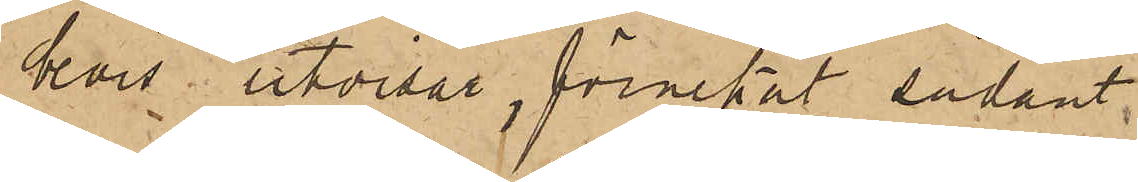bevis utvisar, förnekat sådant.
